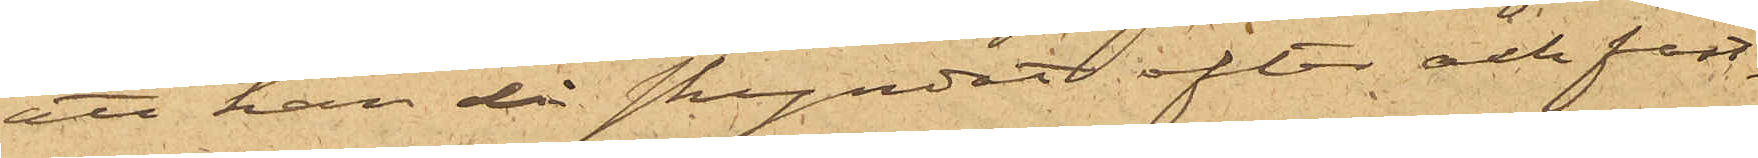att han då skyndat efter och fast¬
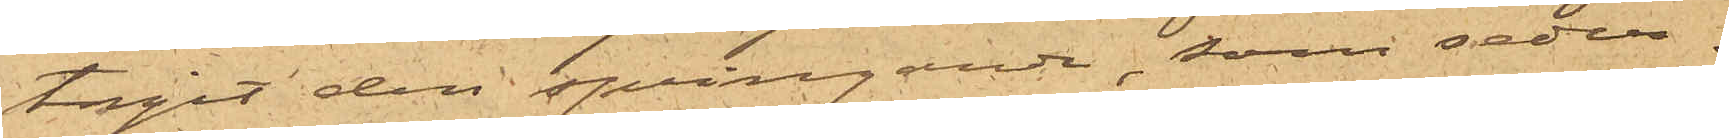tagit den springande, som seder¬
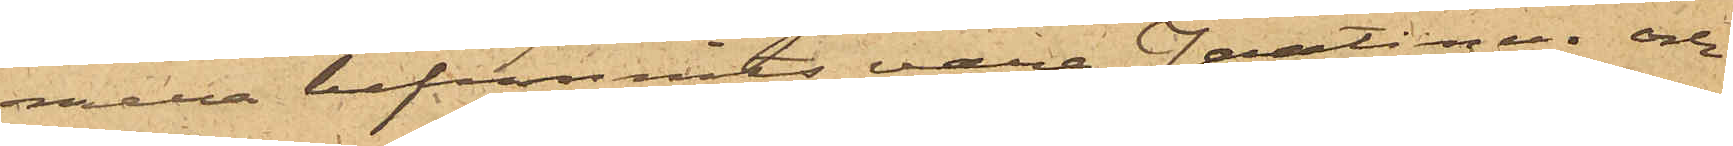mera befunnnits vara Jantinen och
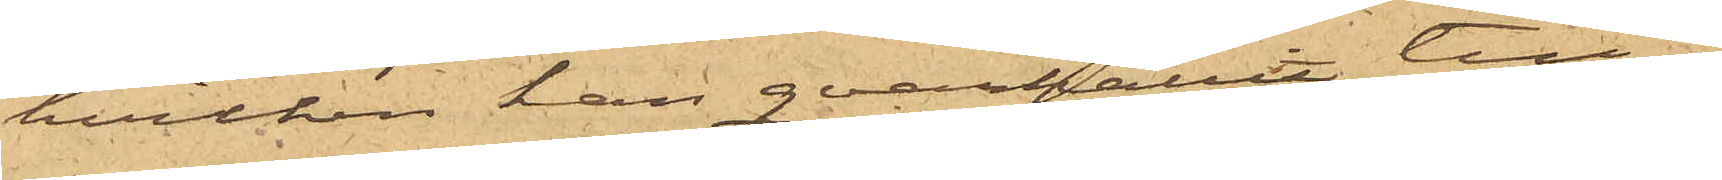hvilken han qvarhållit till
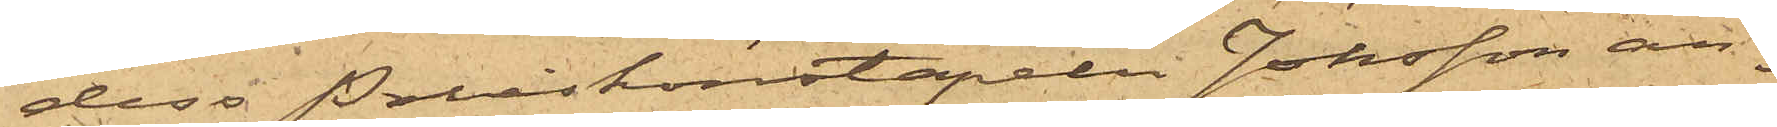dess Poliskonstapeln Jonsson an¬
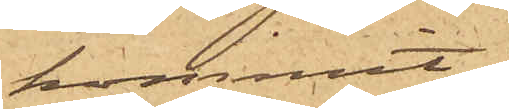kommit;
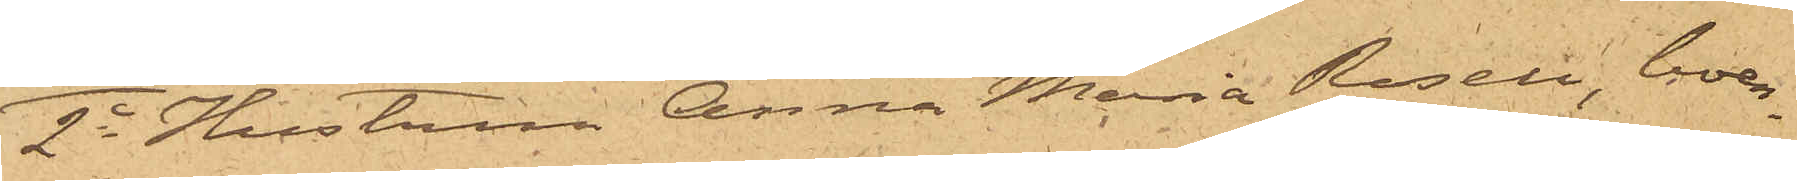2o Hustrun Anna Maria Rosen, boen¬
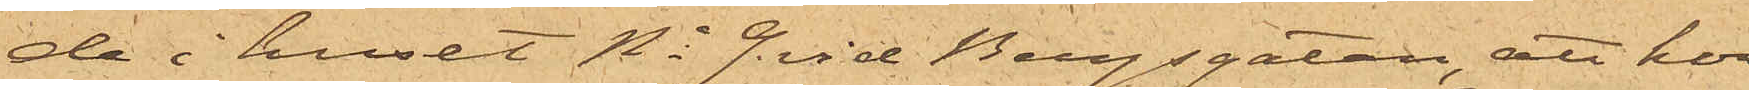de i huset No 9 vid Bergsgatan, att hon
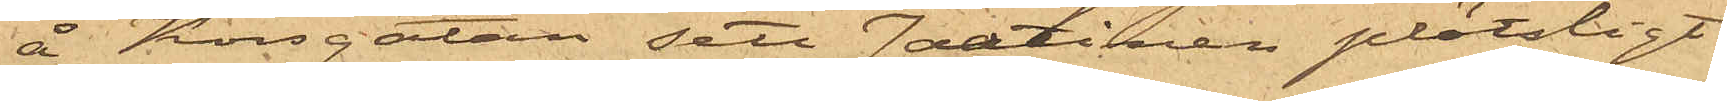å Korsgatan sett Jantinen plötsligt
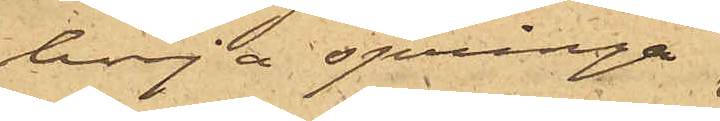börja springa
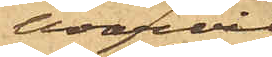varvid
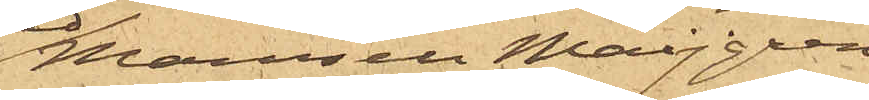Mamsell Maijgren,
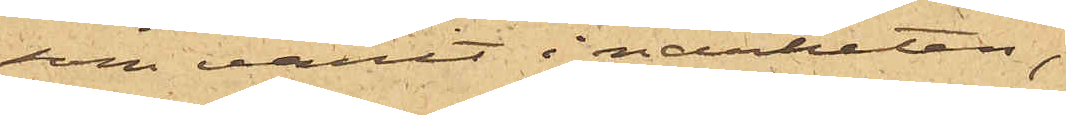som varit i närheten,
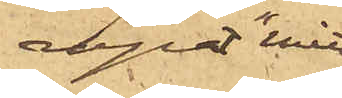ropat "mitt
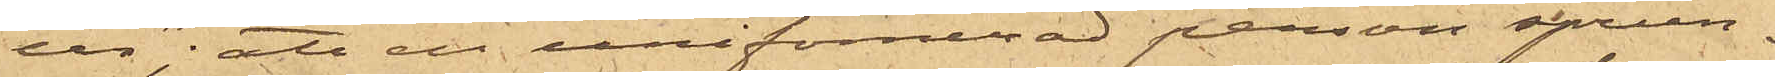ur"; att en uniformerad person sprun¬
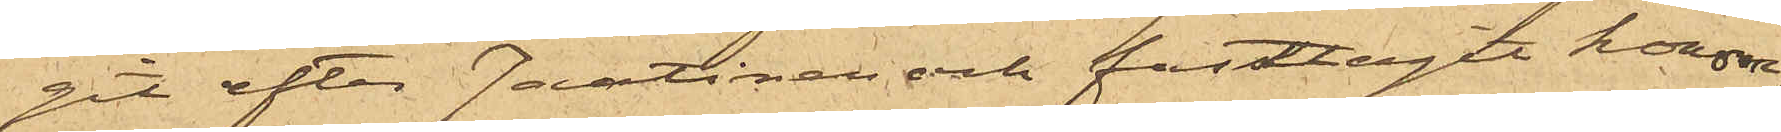git efter Jantinen och fasttagit honom;
